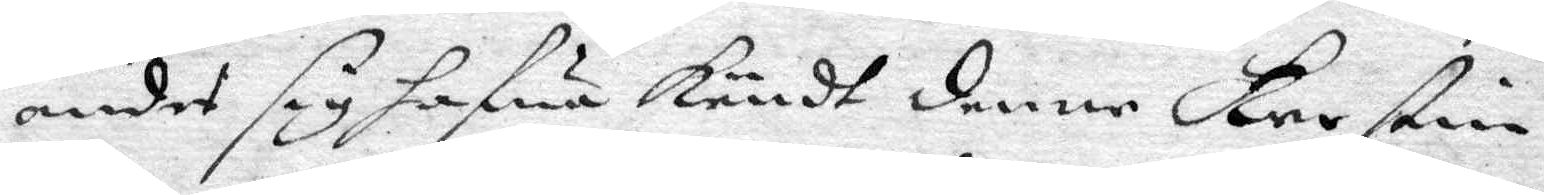andes sig hafwa kändt denne Kerstin
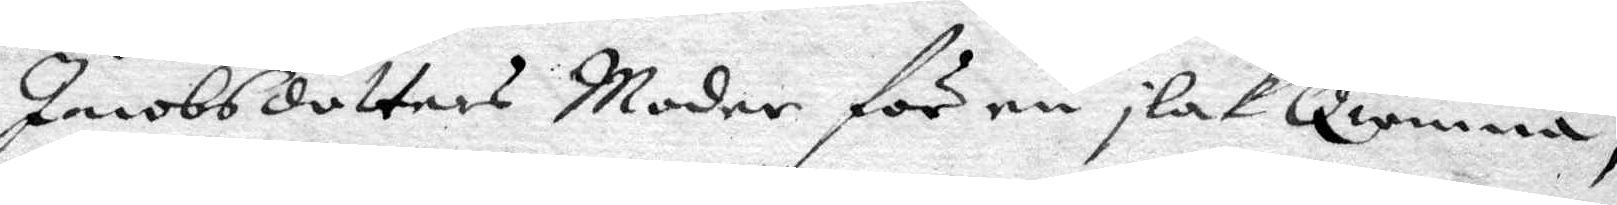Jacobsdotters Moder för en ilak Qwinna,
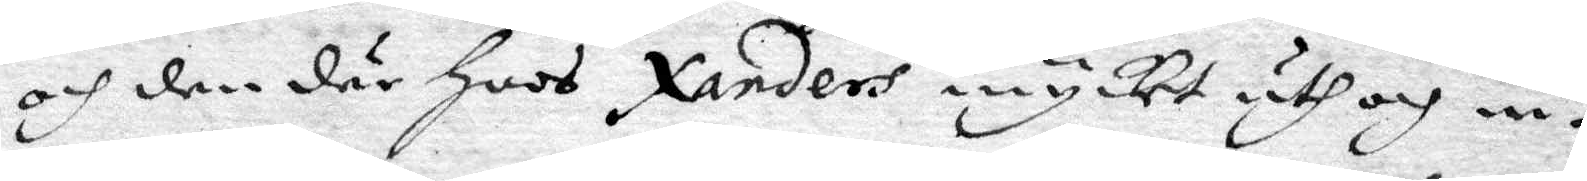och den där hoos Xanders mycker uth och in¬
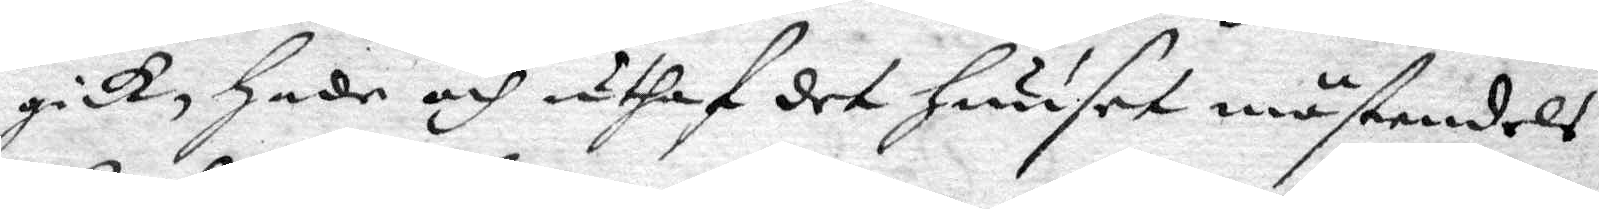gick, hade och uthaf det huuset mästandels
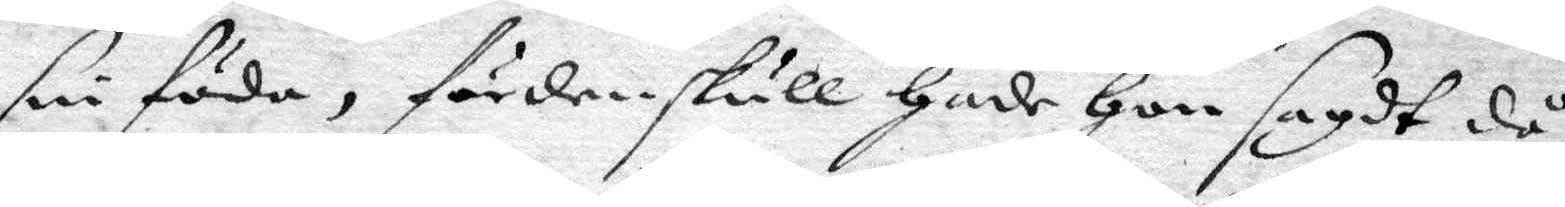sin föda, fördenskull hade hon sagdt då
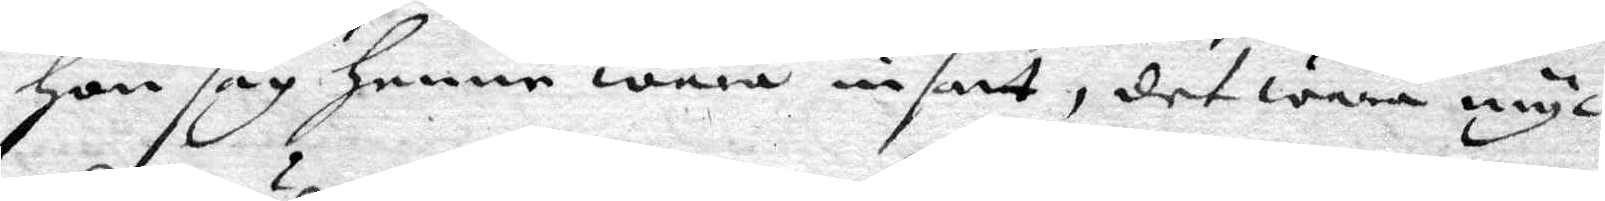hon såg henne wara insatt, det wara myc¬
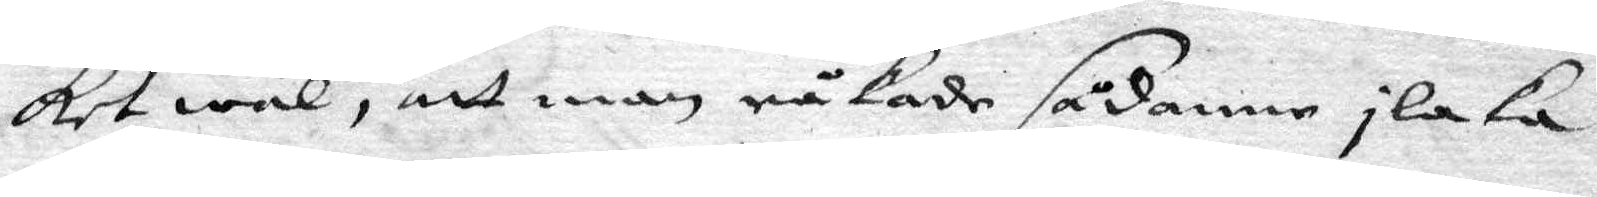ket wäl, att man råkade sådanne ilaka
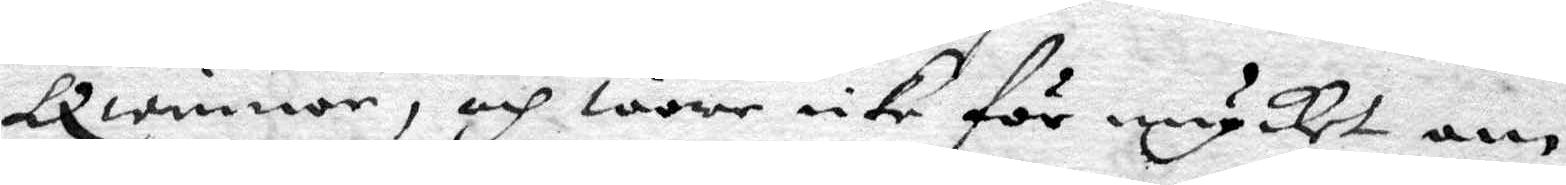Qwinnor, och ware icke för mycket om
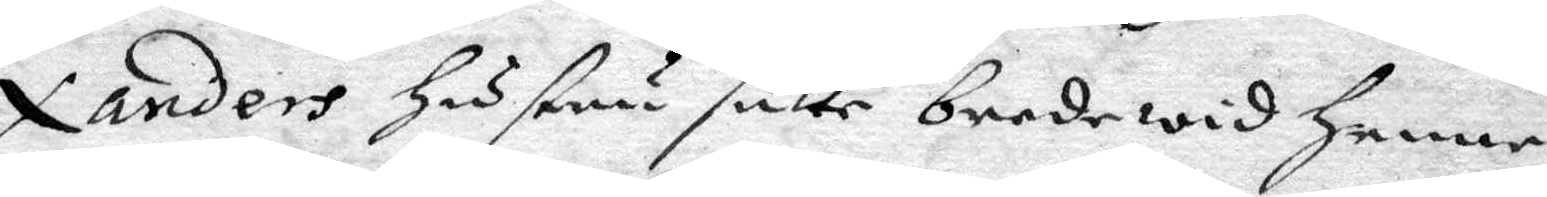Xanders hustru sutte bredewid henne.
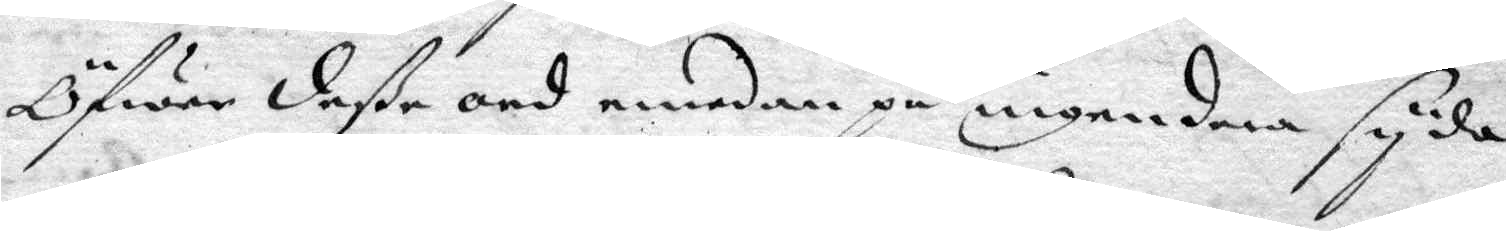Öfwer dee ord emedan på ingendera syda
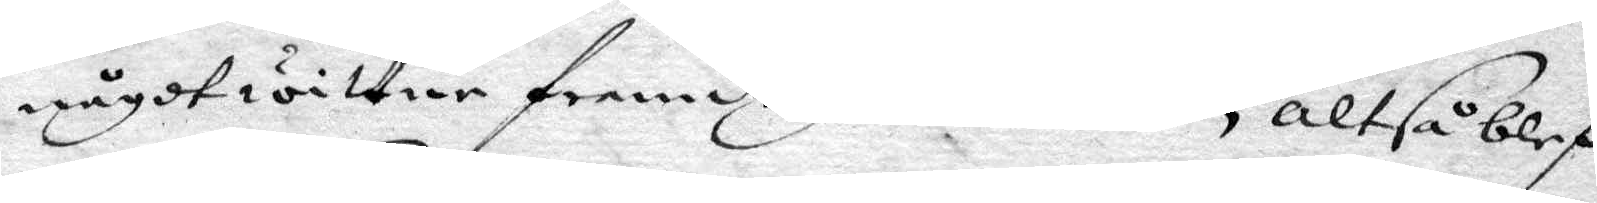något wittne framdragas kunde, altså blef¬
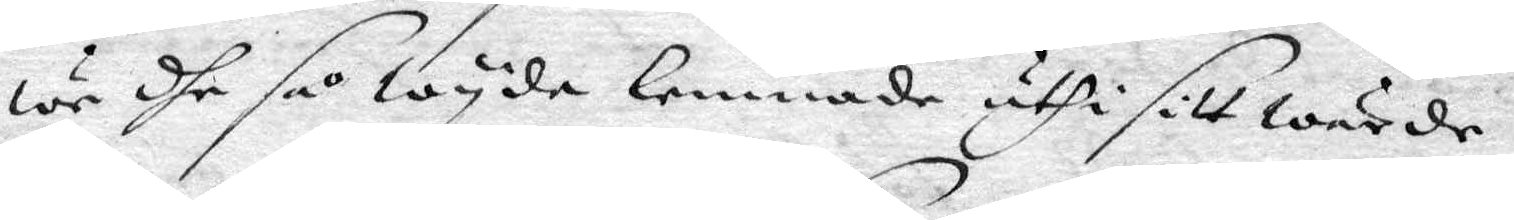we dhe så wyda lemnade uthi sitt wärde.
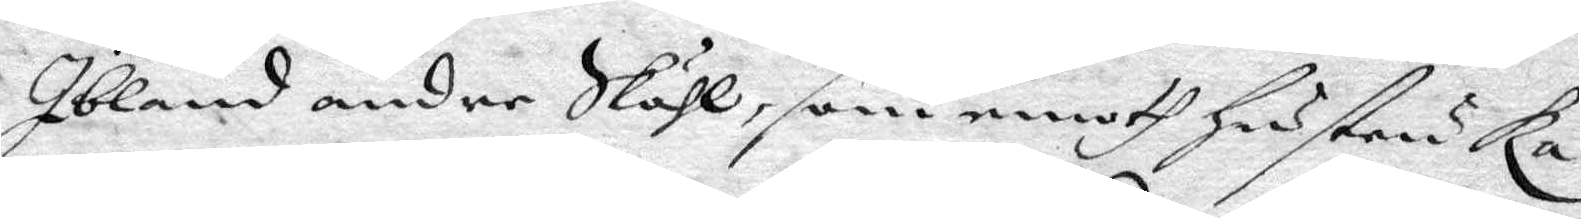Ibland andre Skäl, som emoth hustru Ka¬
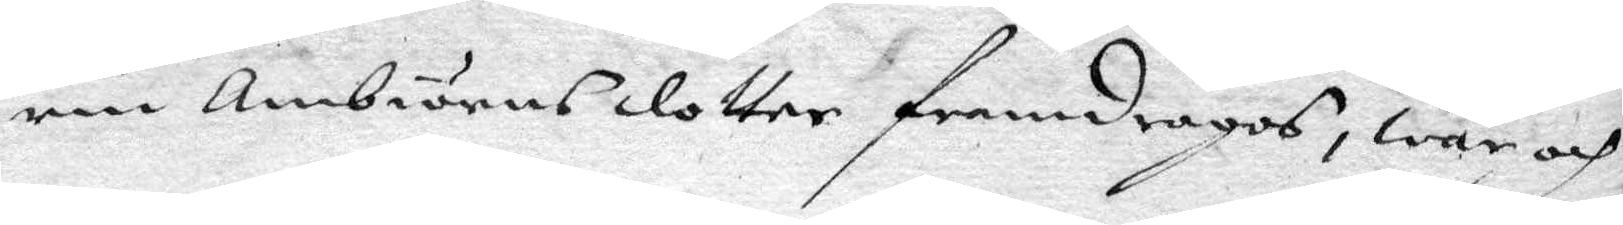rin Ambiöransdotter framdragos, war och
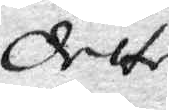dette
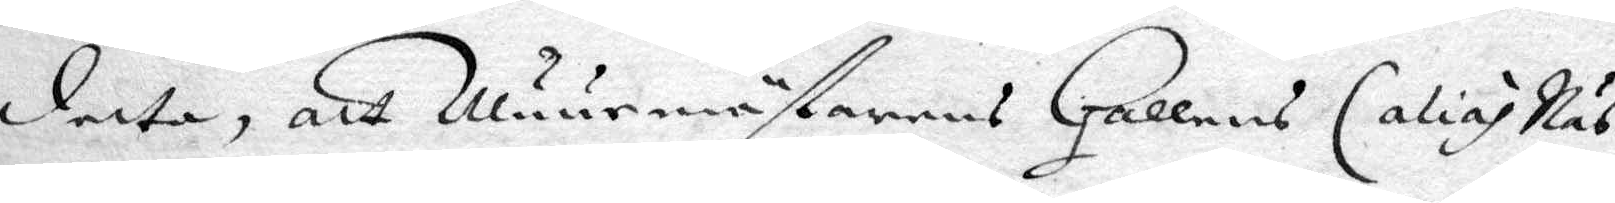detta, att Muurmästarens Hallens (alias Näs¬
